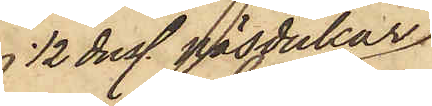 1/2 duss näsdukar
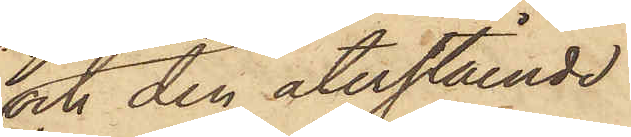och den återstående
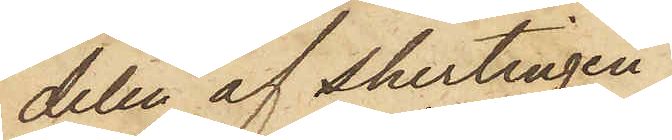delen af shirtingen
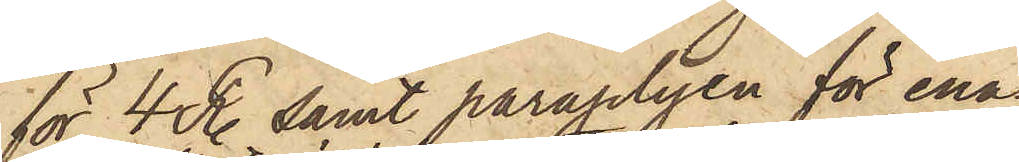för 4 R. samt paraplyen för ena¬
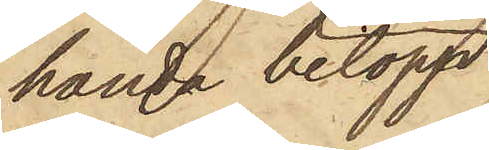handa belopp,
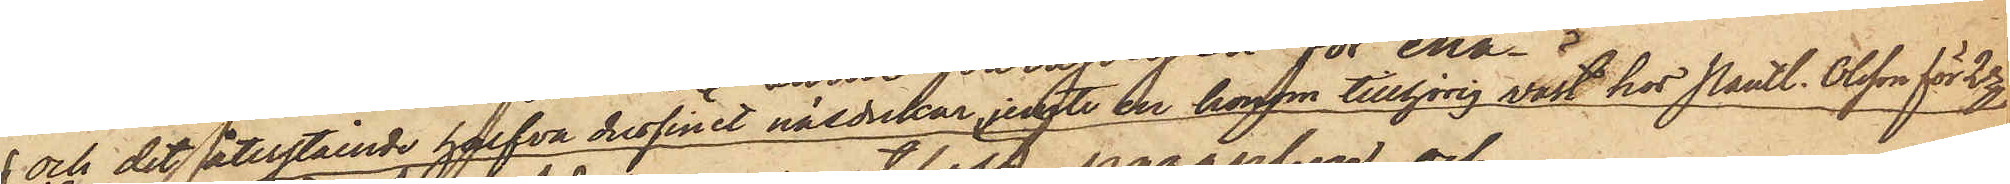 och det återstående halfva dussinet näsdukar, jemte en honom tillhörig väst hos Pantl. Olsson för 2 Rgr
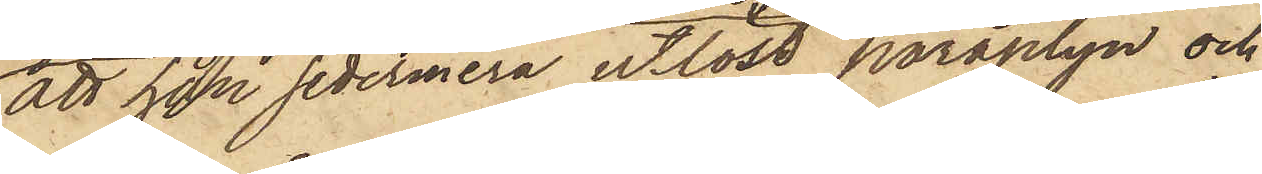att han sedermera utlöst paraplyn och
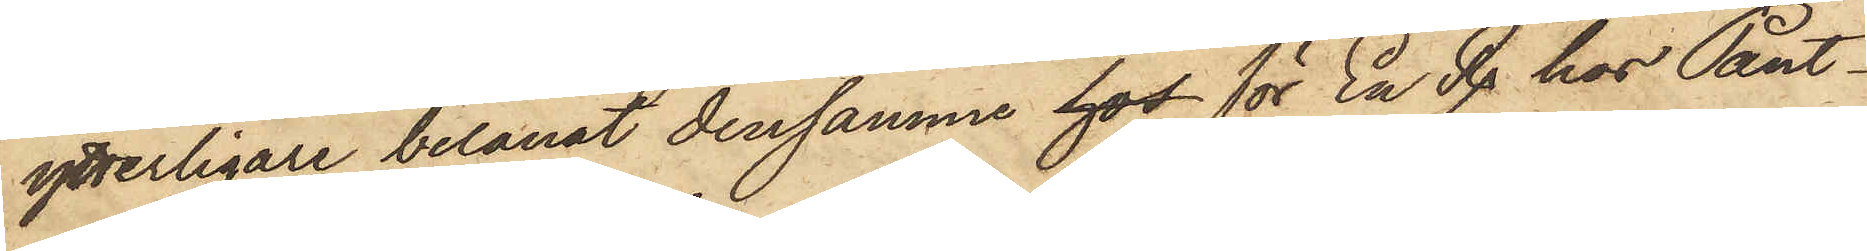ytterligare belånat densamme hos för En R. hos Pant¬
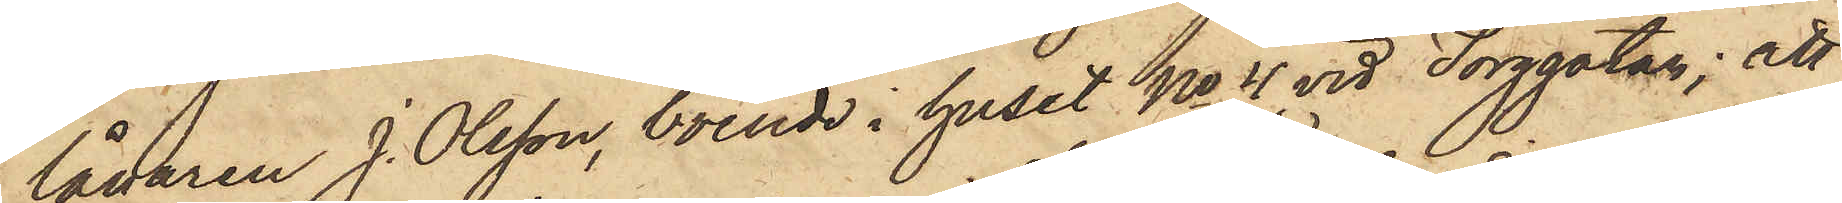lånaren J. Olsson, boende i huset No 4 vid Torggatan; att
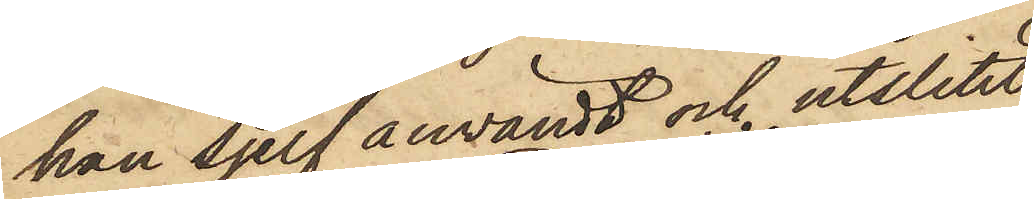han sjelf användt och utslitit
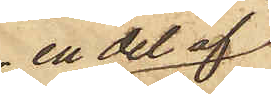en del af
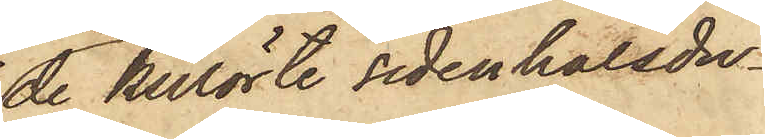de kulörte sidenhalsdu¬
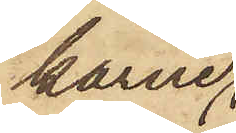karne,
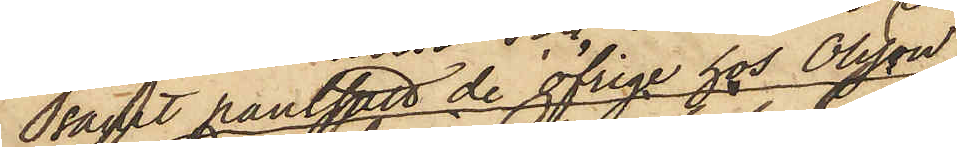samt pantsatt de öfrige hos Olsson;
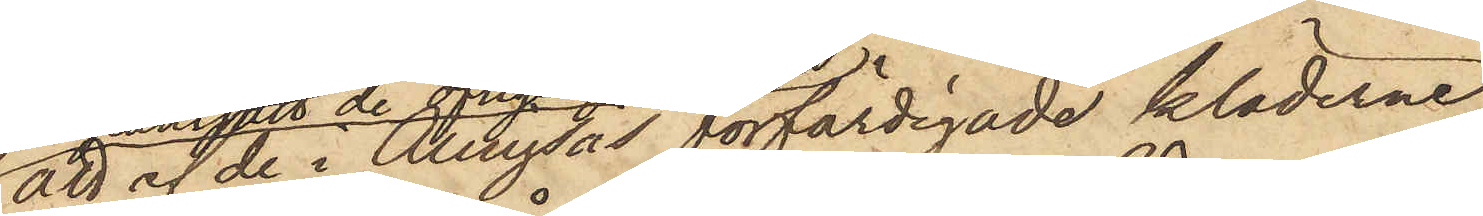att af de i Alingsås förfärdigade kläderne
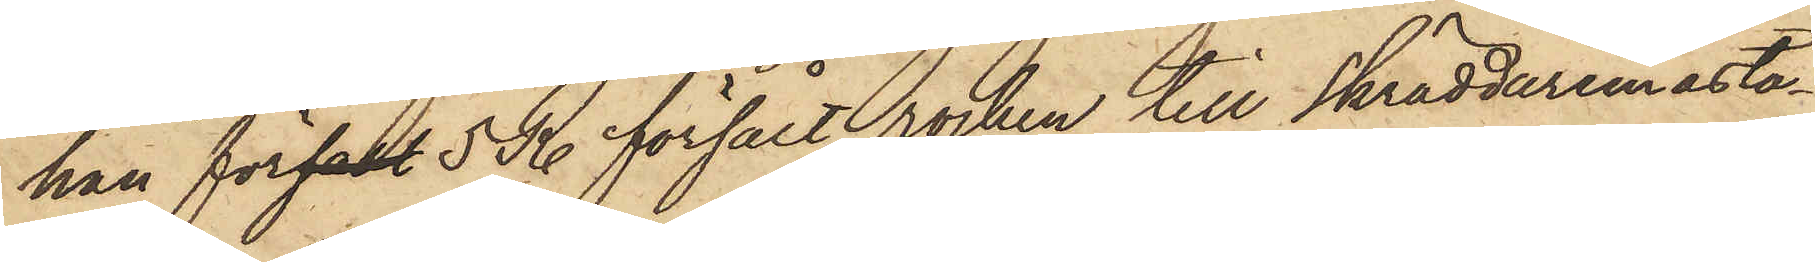han försalt 5 R. försålt rocken till Skräddaremästa¬
